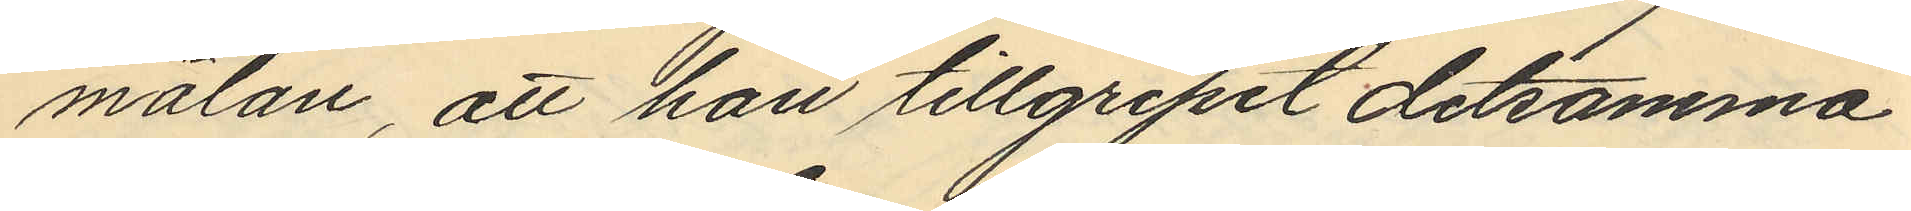mälan, att han tillgripit detsamma
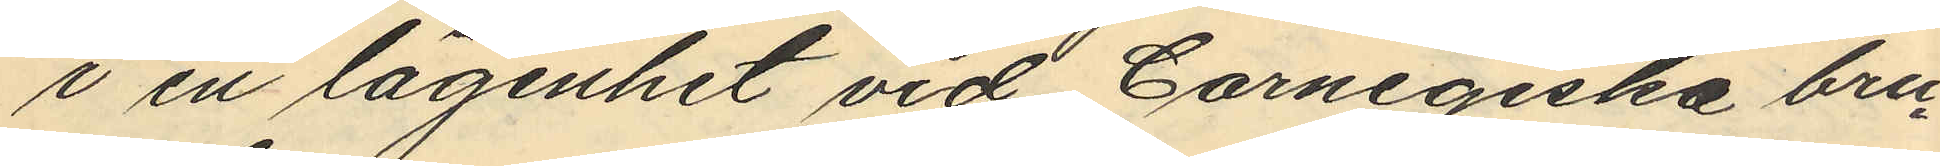i en lägenhet vid Carnegiska bru¬
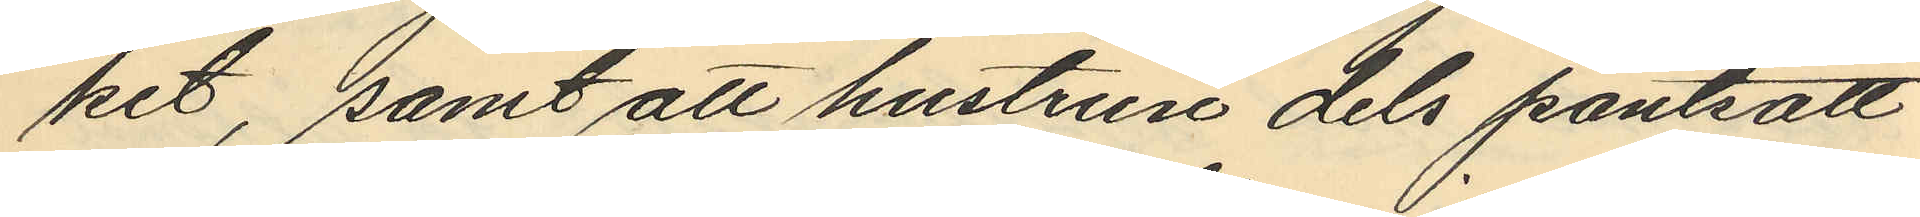ket, samt att hustrun dels pantsatt
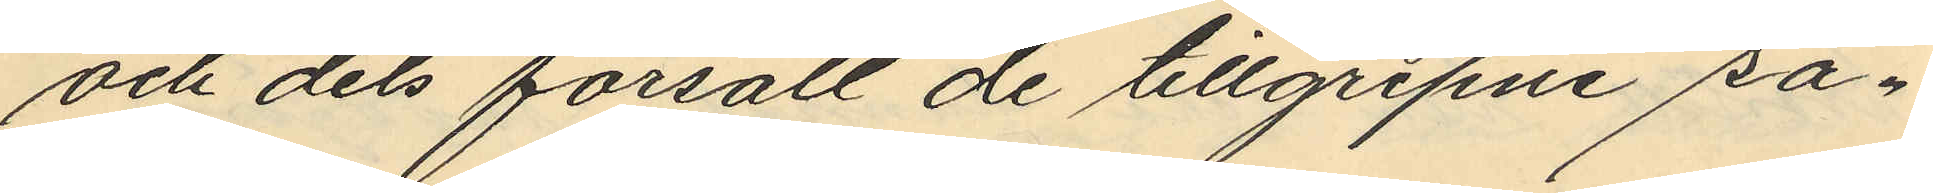och dels försålt de tillgripne sa¬
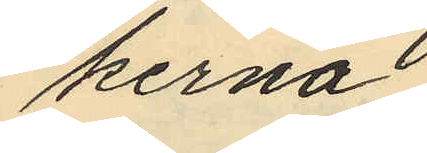kerna.
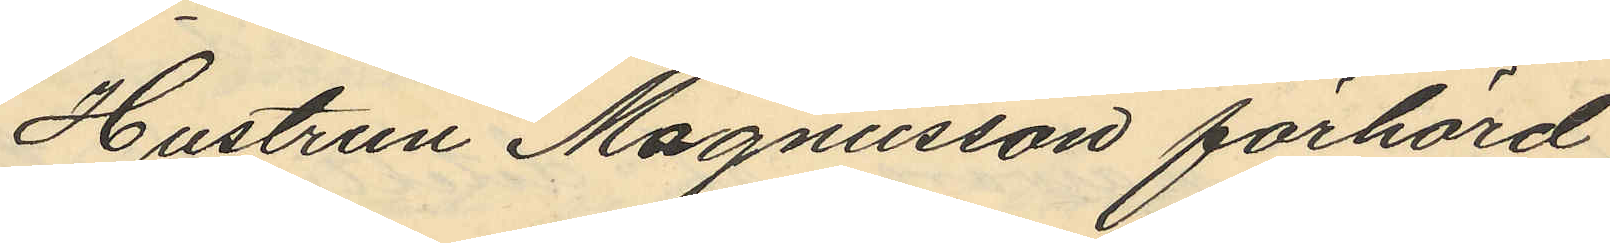Hustrun Magnusson förhörd
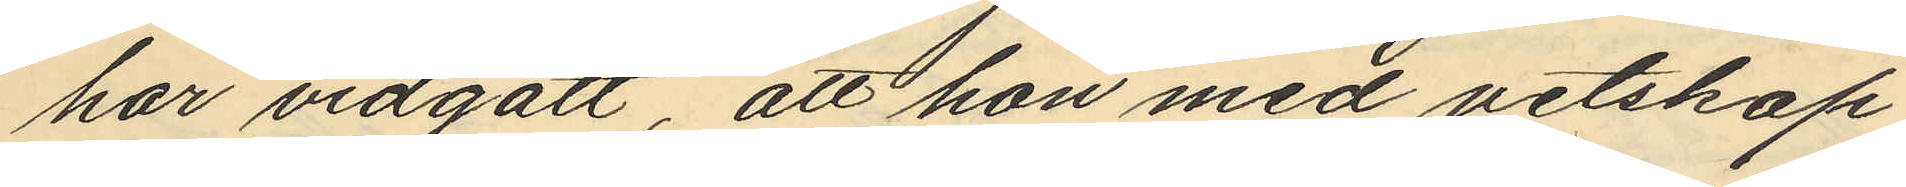har vidgått att hon med vetskap
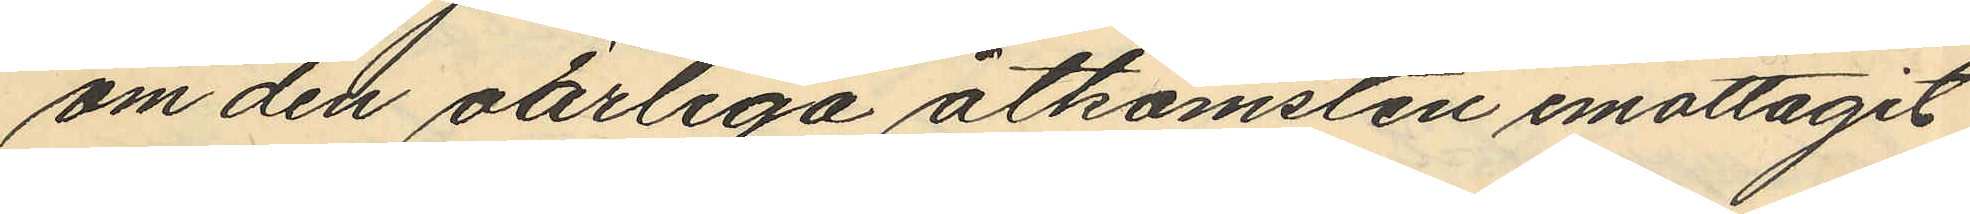om den oärliga åtkomsten emottagit
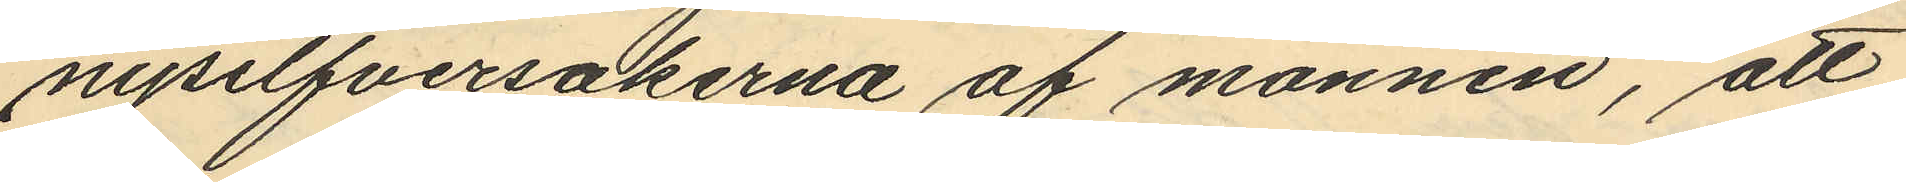nysilfversakerna af mannen, att
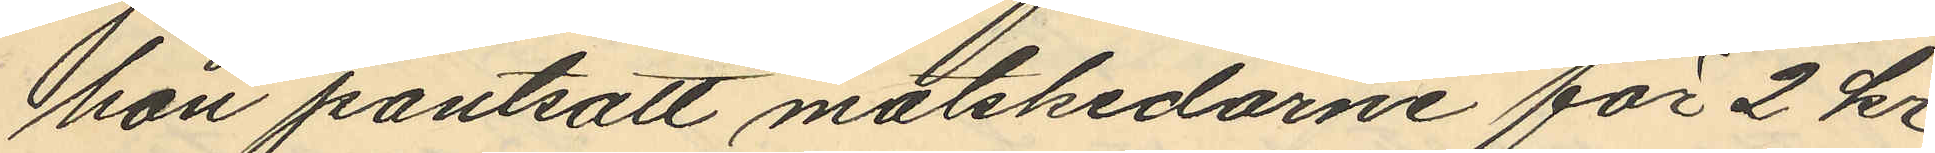hon pantsatt matskidarne för 2 kr
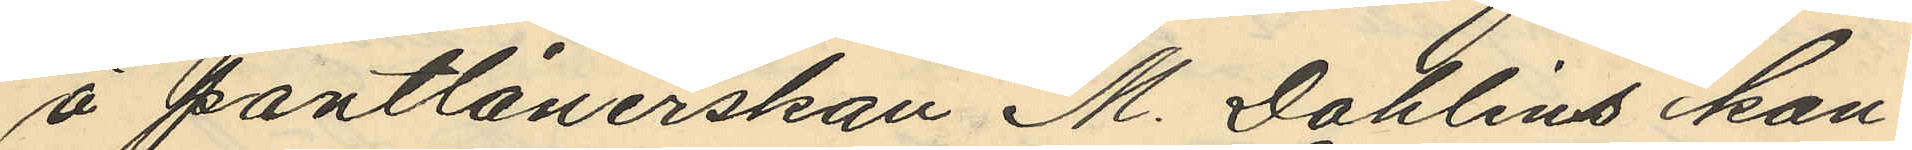å pantlånerskan M. Dahlins kon¬
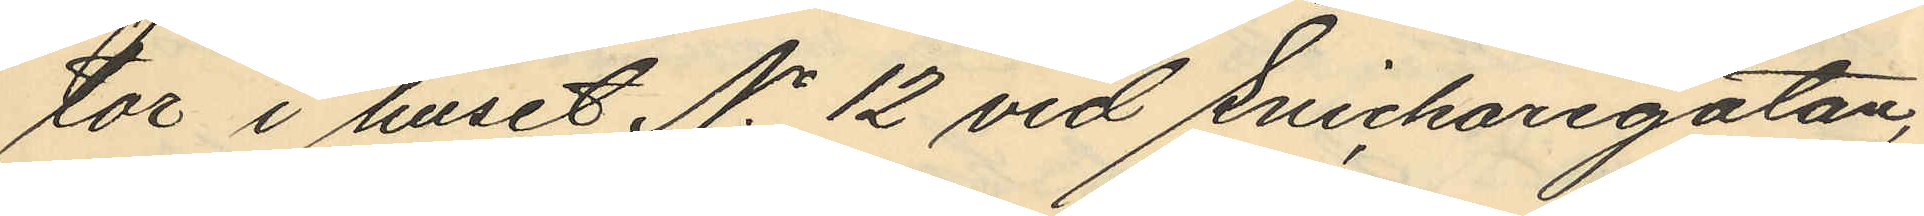tor i huset No 12 vid Snickaregatan,
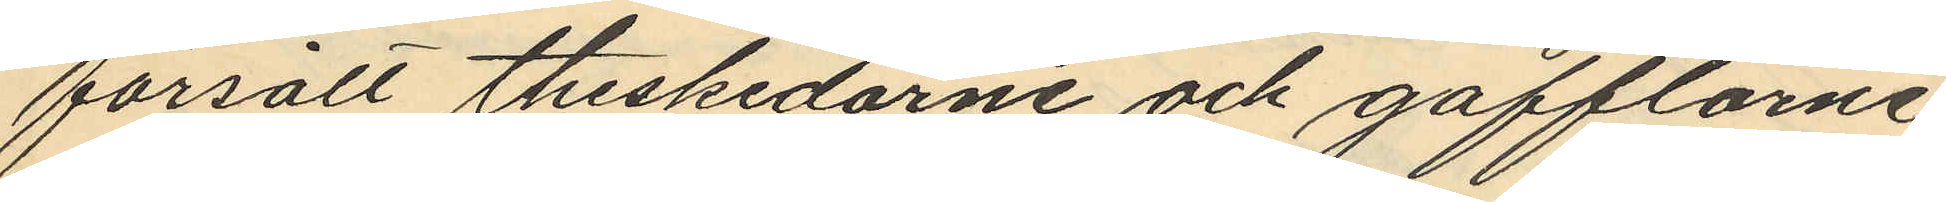försålt theskedarne och gafflarne
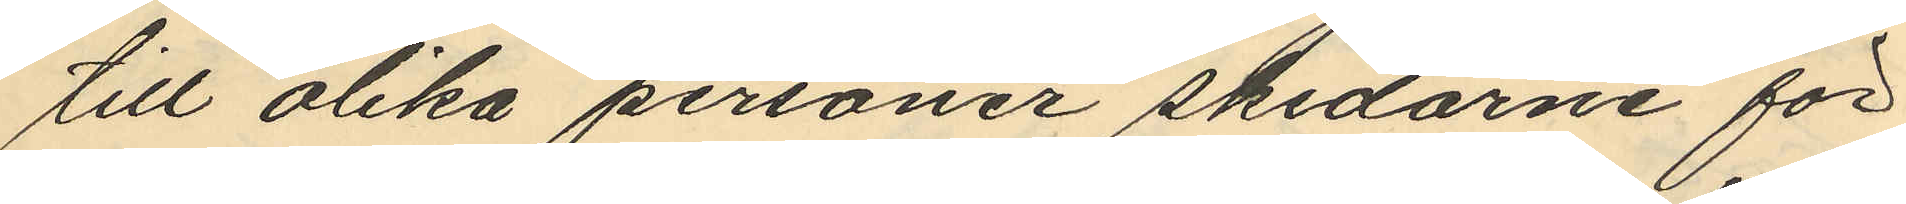till olika personer skedarne för
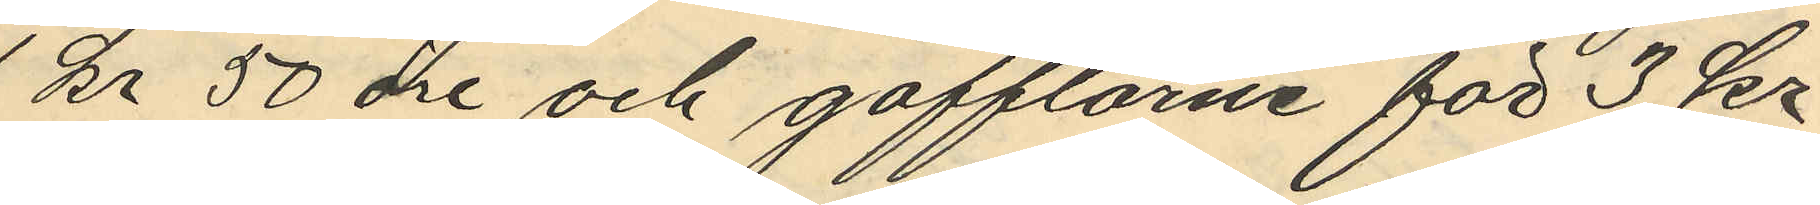1 Kr 50 öre och gafflarna för 3 kr
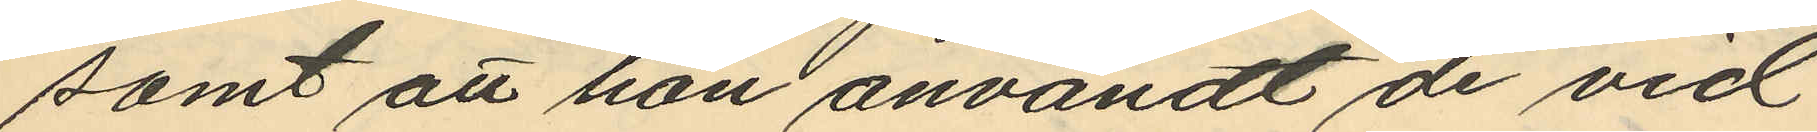samt att hon användt de vid
